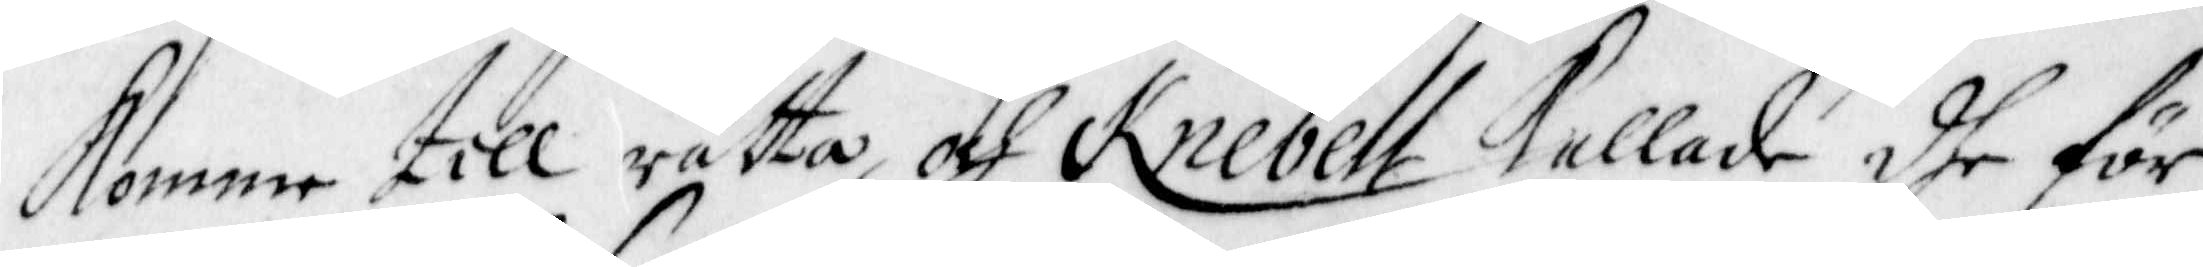Komne till rätta och Knebell kallade dhe för
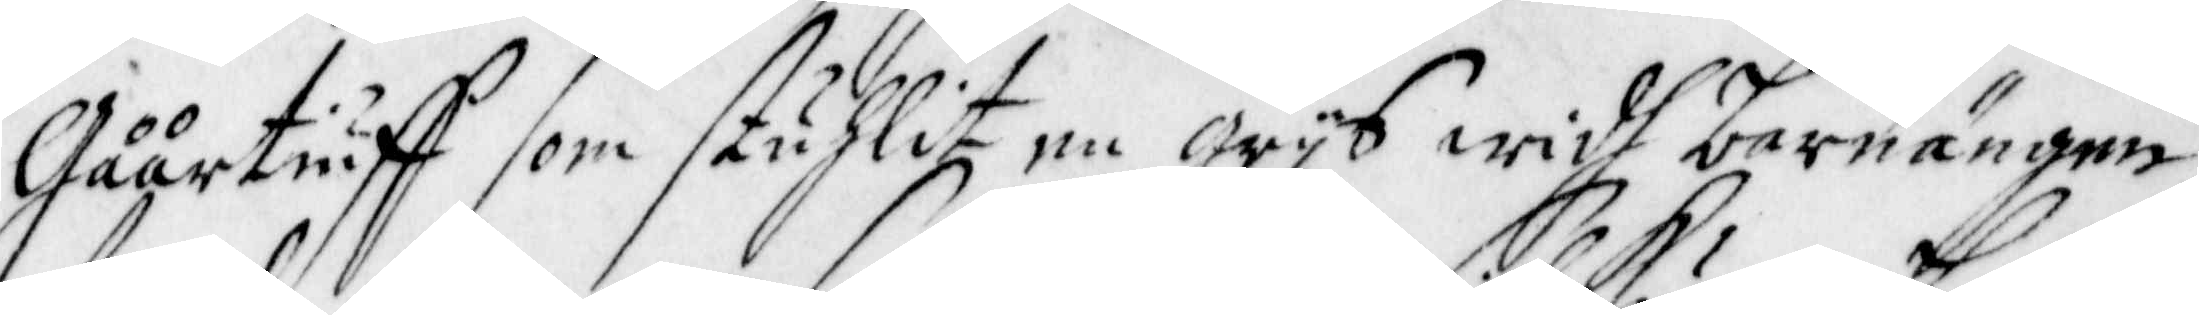Gåårtiuff som stuhlit en grijs widh barnängen
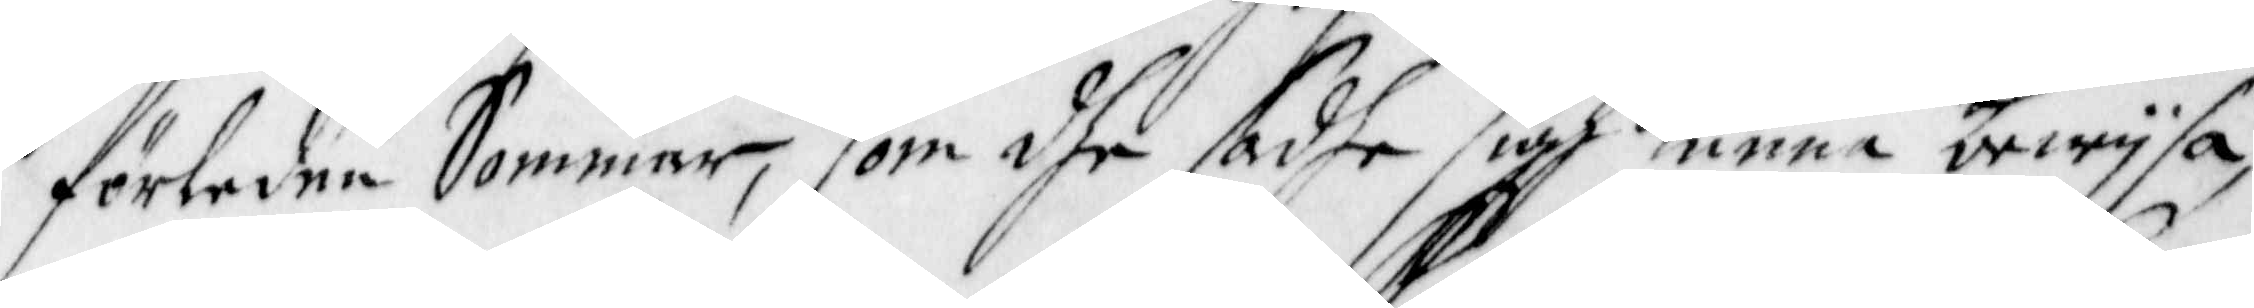förledne Sommar, som dhe sadhe sigh kunna bewijsa,
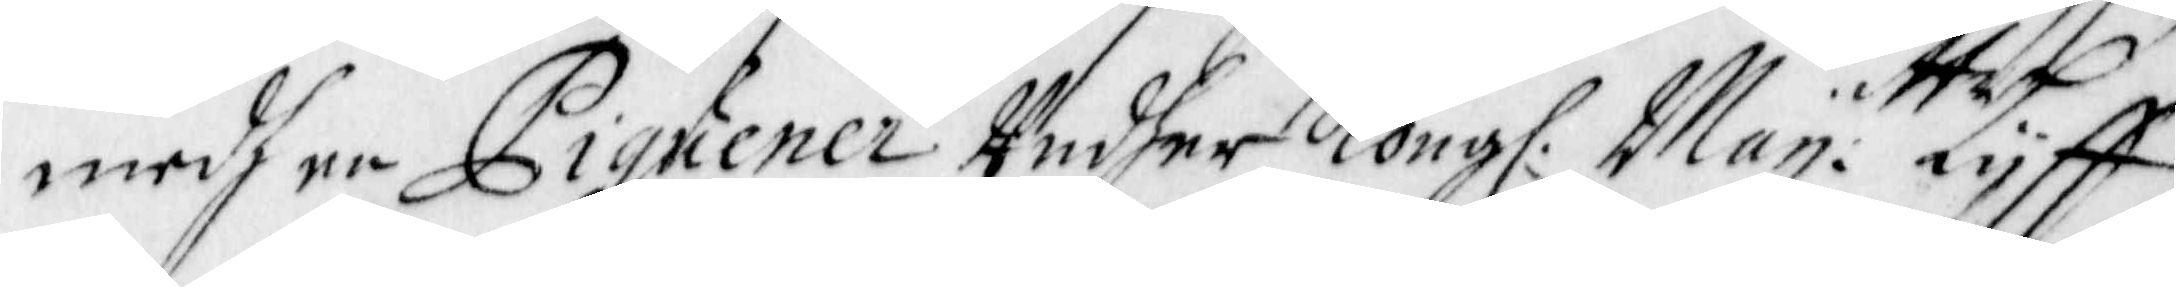medh en Piquener Under Kong. Maij:ttz Lijff¬
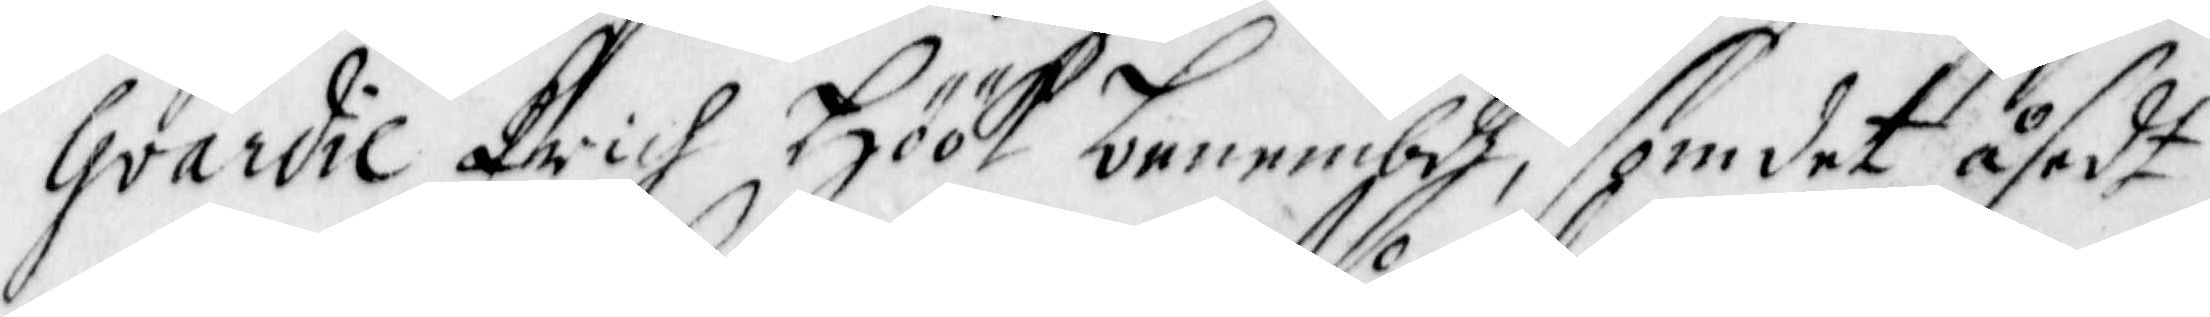Gvardie Erich Höök benembdh, som det åsedt
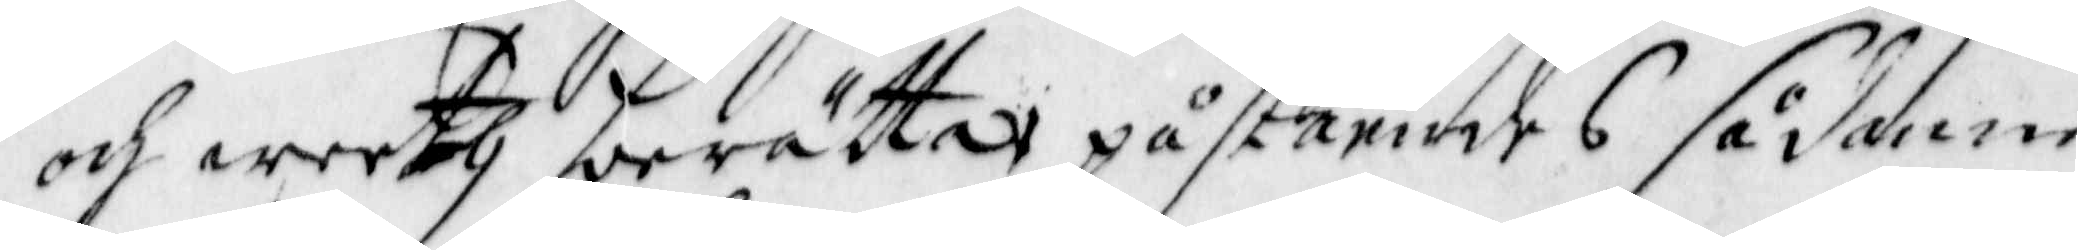och weeth berätta, påståendes sådanne
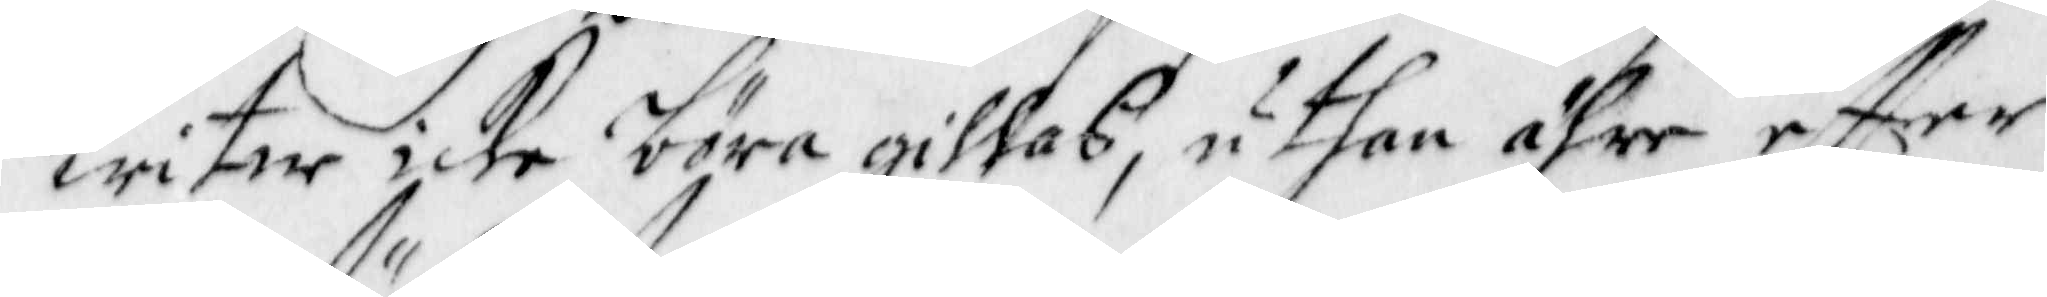witne icke böra gillas, uthan ähre effter
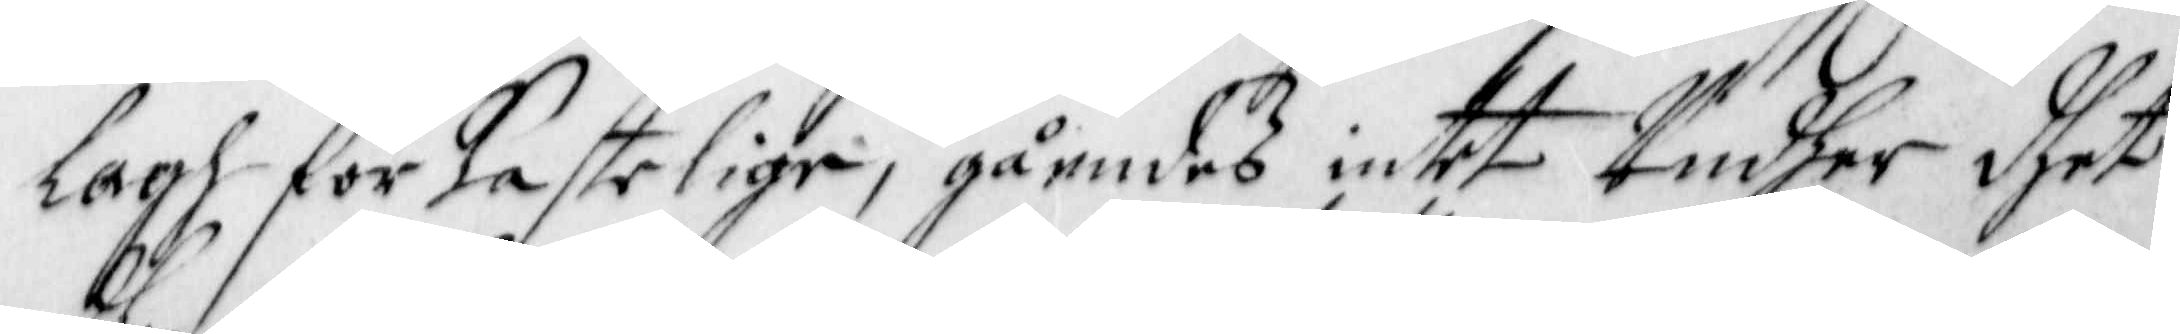Lagh förkastelige, gåendes intet Undher dhet
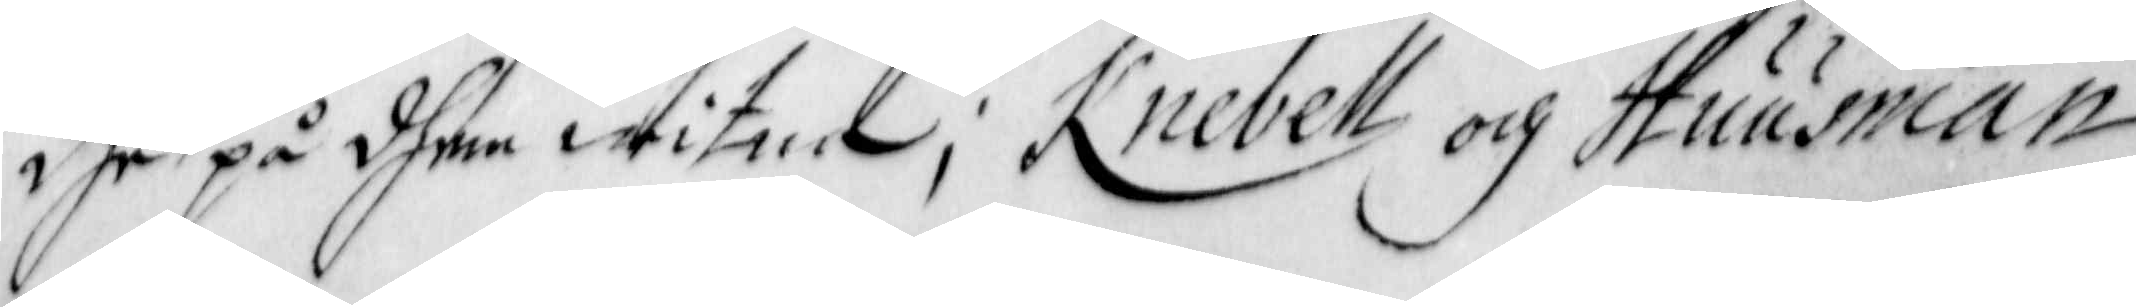dhe på dhem witna; Knebell och Huusman
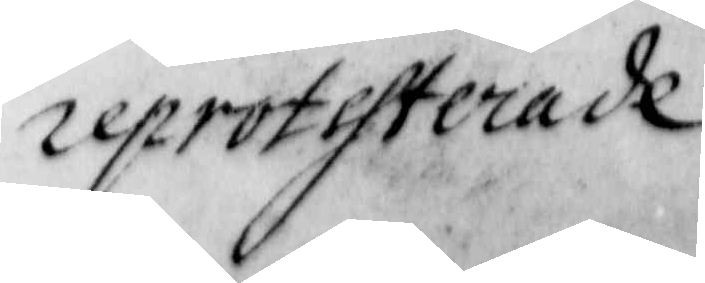reprotesterade
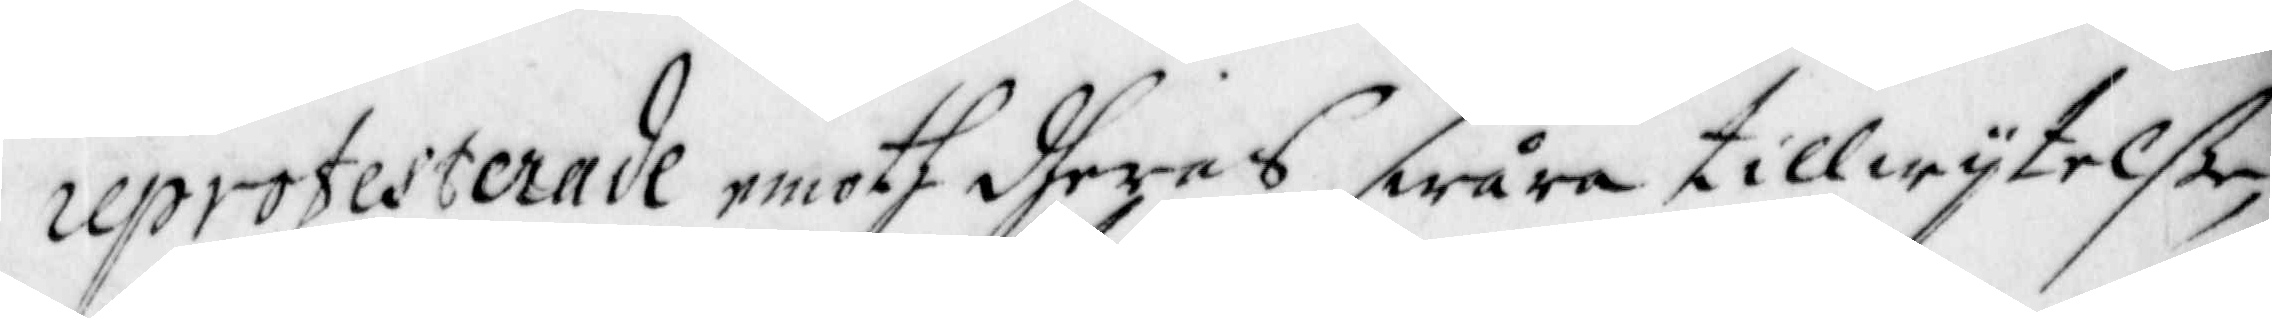reprotesterade emoth dheras swåra tillwijtelße,
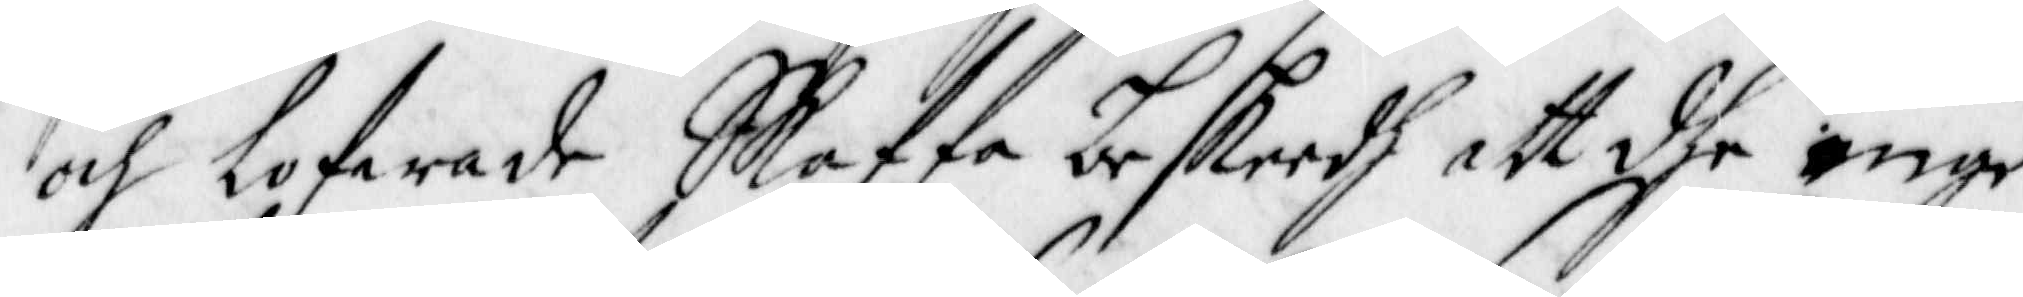och lofwade Skaffa beskeedh att dhe inge
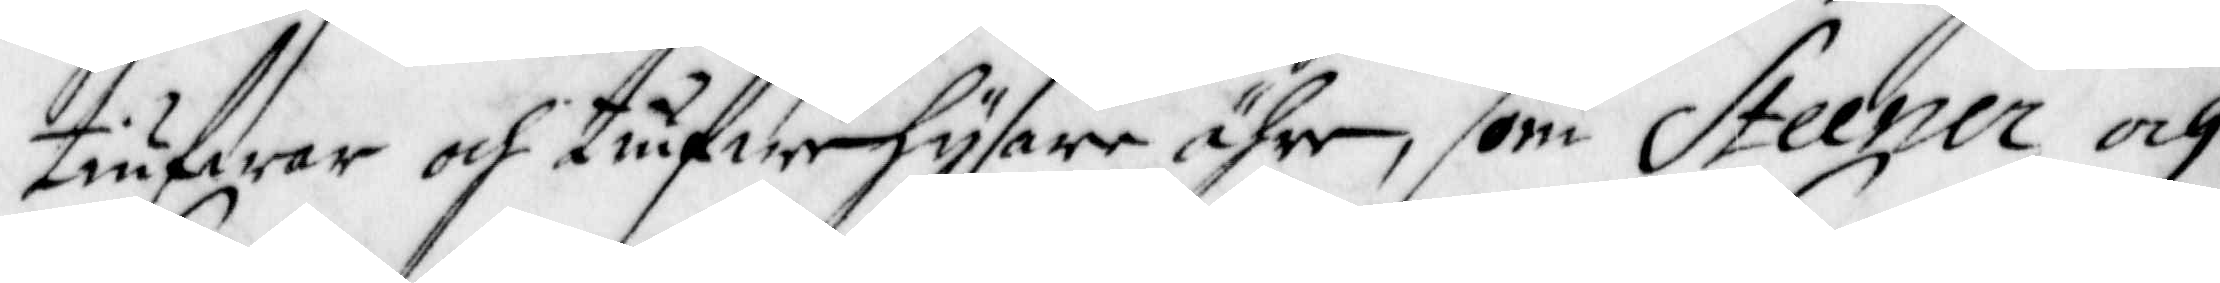tiufwar och tiufwehysare ähre, som Steener och
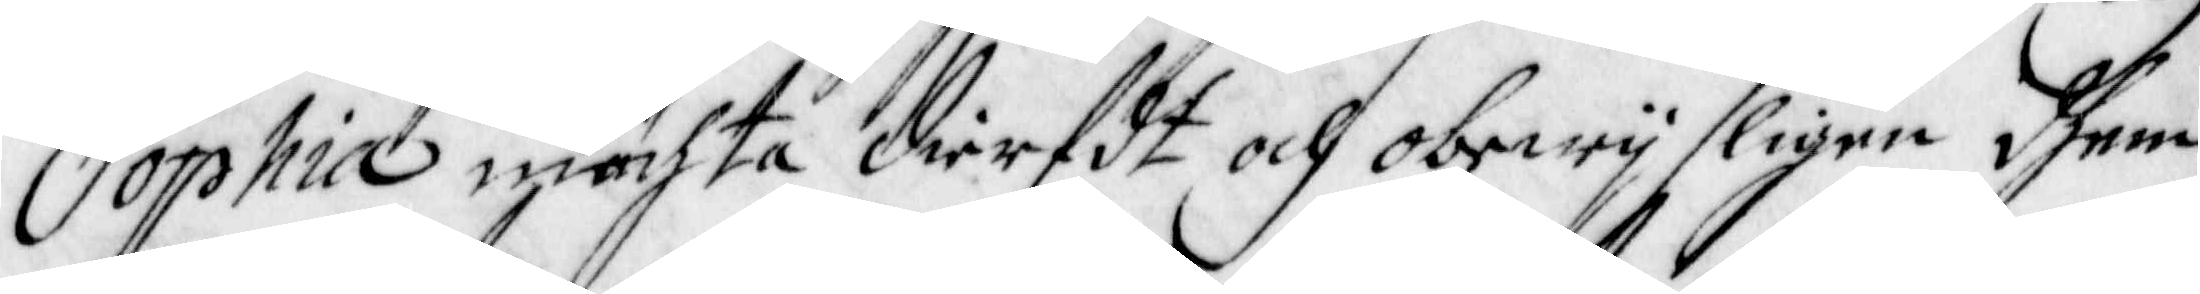Sophia mächta dierfdt och obewijsligen dhem
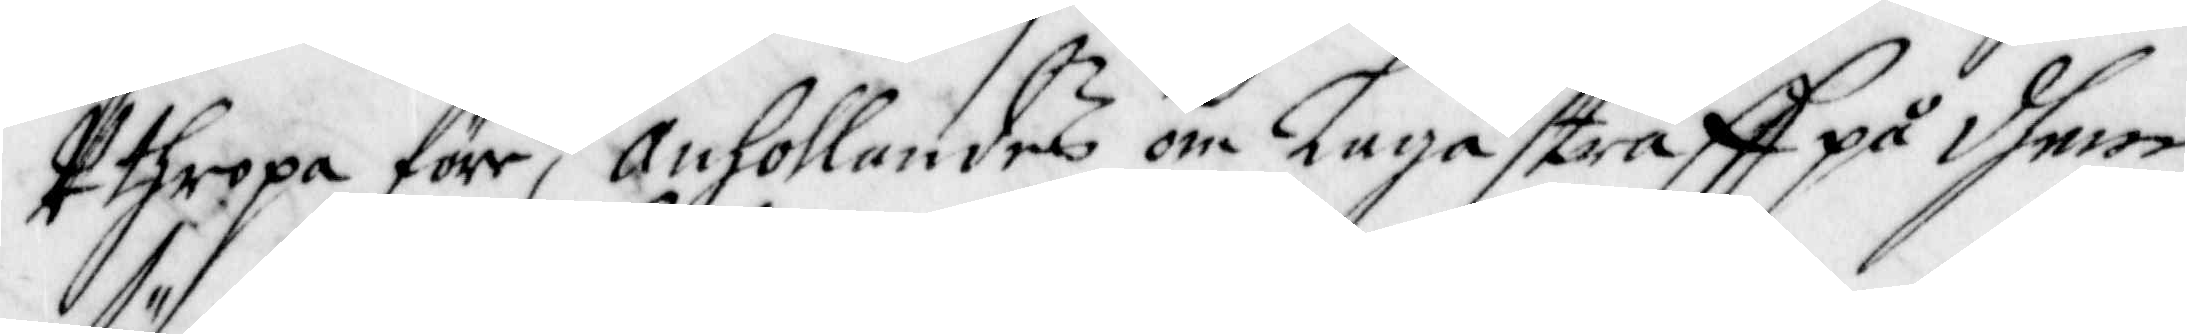Uthropa före; Anhollandes om Laga straff på dhem
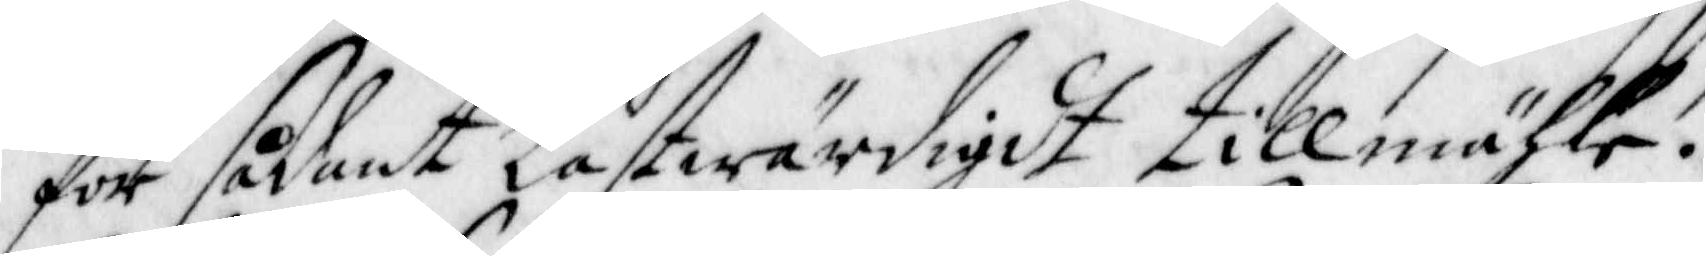för sådant lastwärdigt tillmähle.
